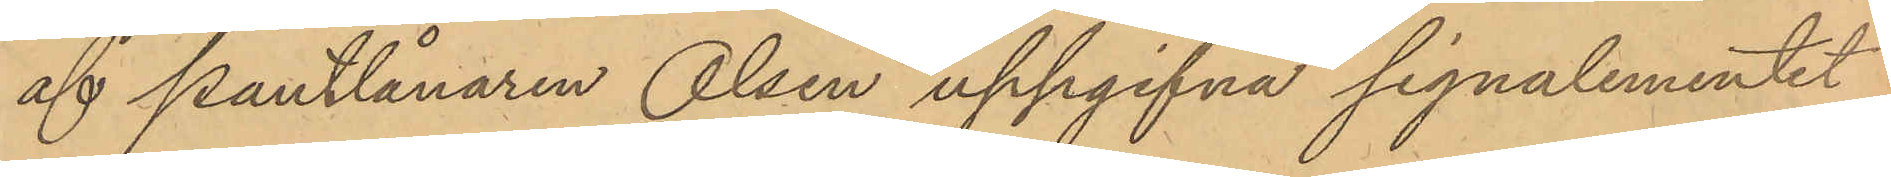af pantlånaren Olsen uppgifna signalementet
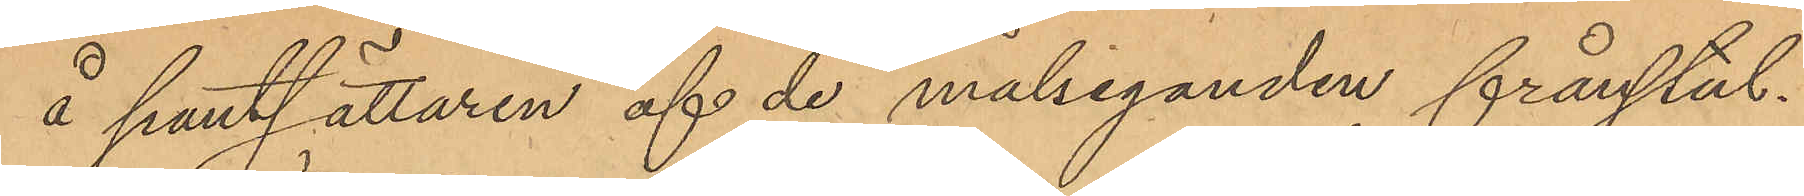å pantsättaren af de målseganden frånstul¬
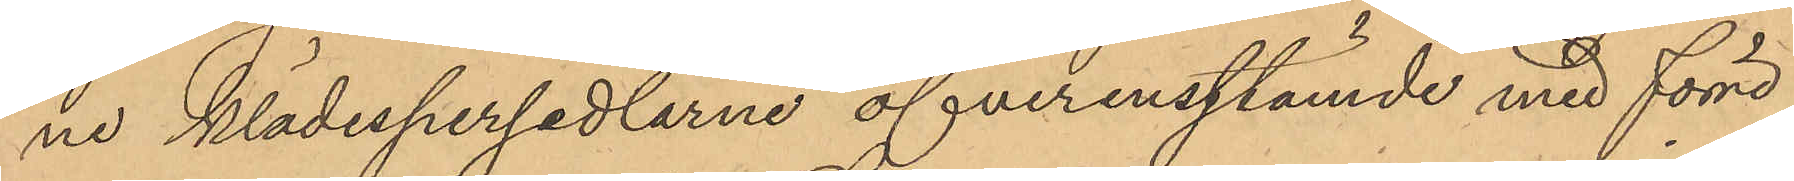ne klädespersedlarne öfverensstämde med förre
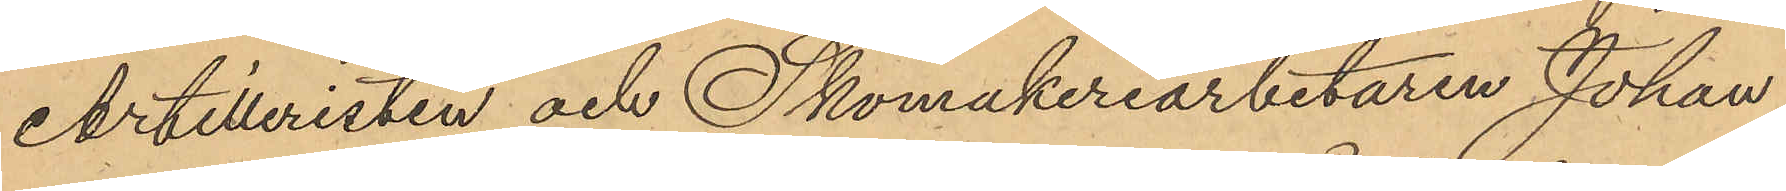Artilleristen och Skomakeriarbetaren Johan
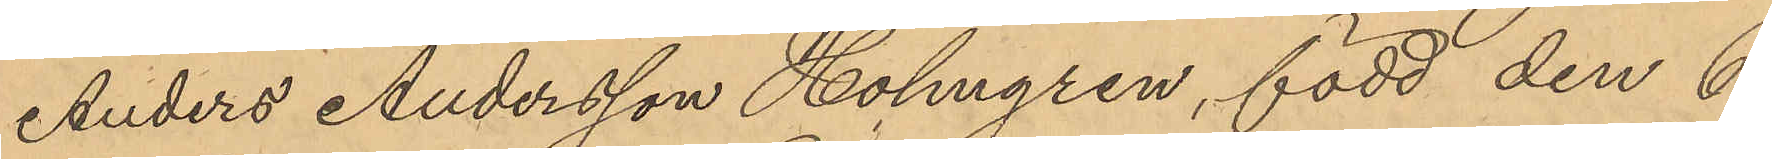Anders Andersson Holmgren, född den 6
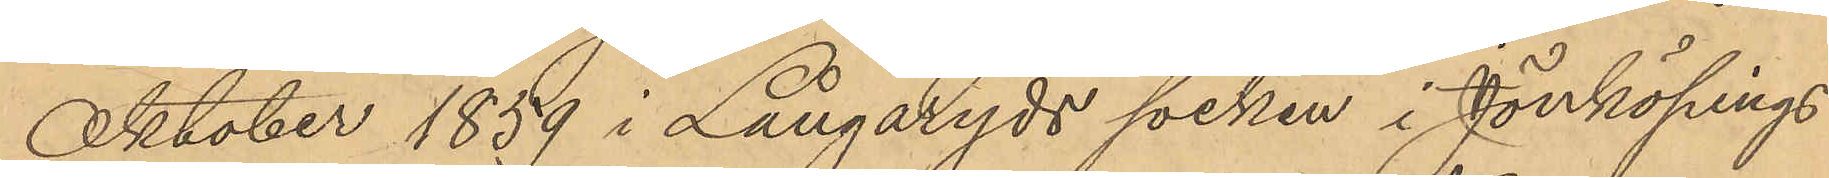Oktober 1859 i Långaryds socken i Jönköpings
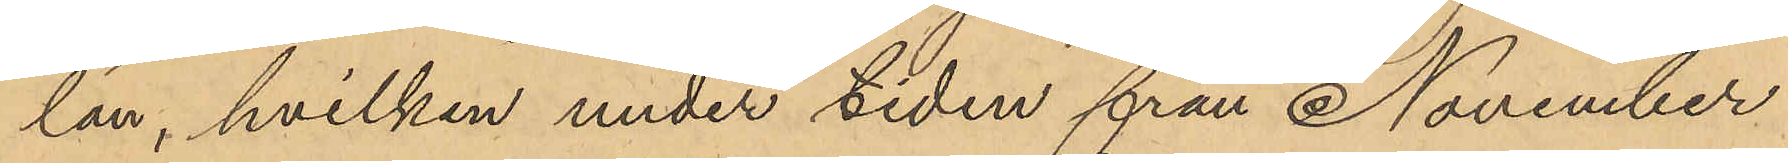län, hvilken under tiden från November
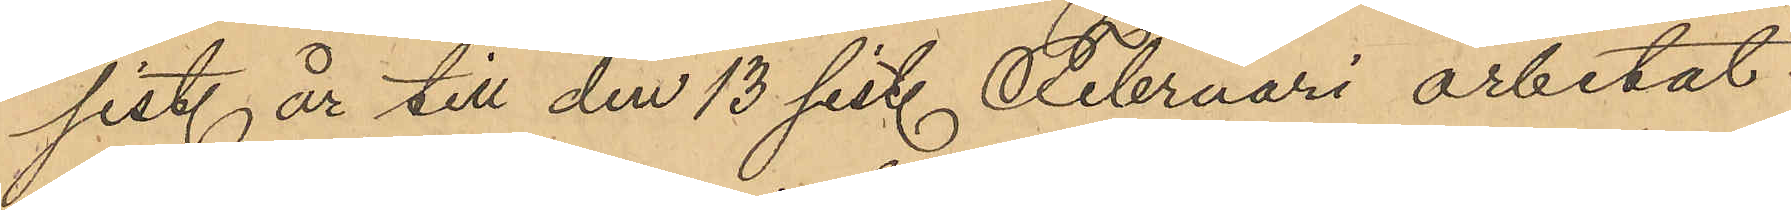sist. år till den 13 sist. Februari arbetat
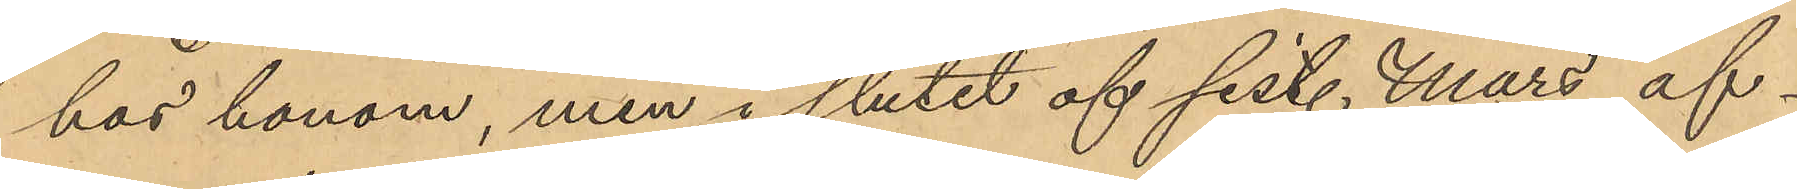hos honom, men i slutet af sist. Mars af¬
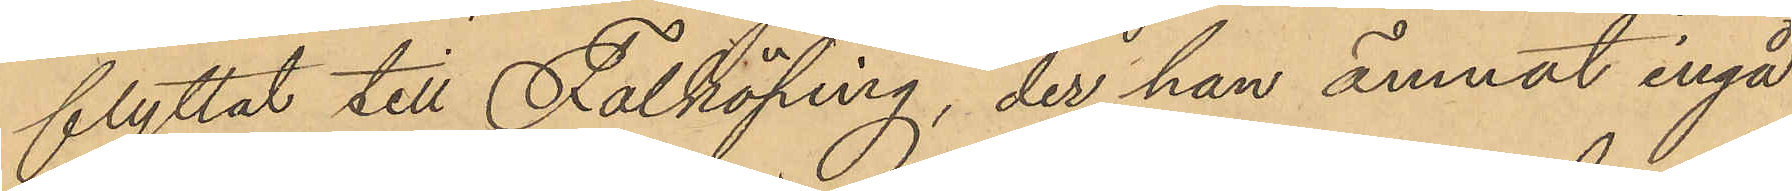flyttat till Falköping, der han ämnat ingå
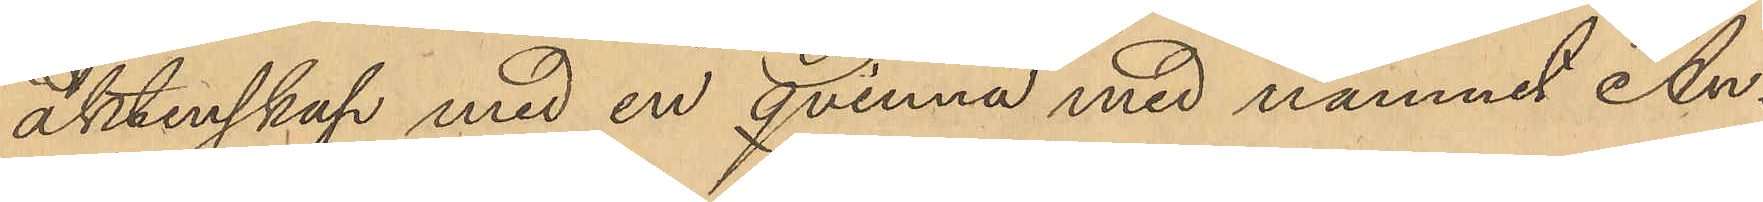äktenskap med en qvinna med namnet An¬
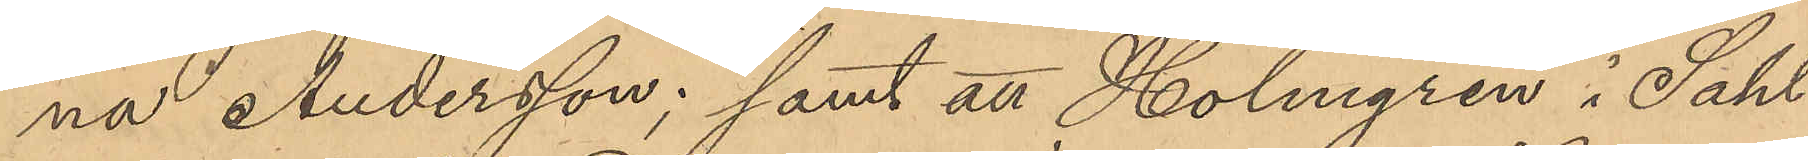na Andersson; samt att Holmgren i Sahl¬
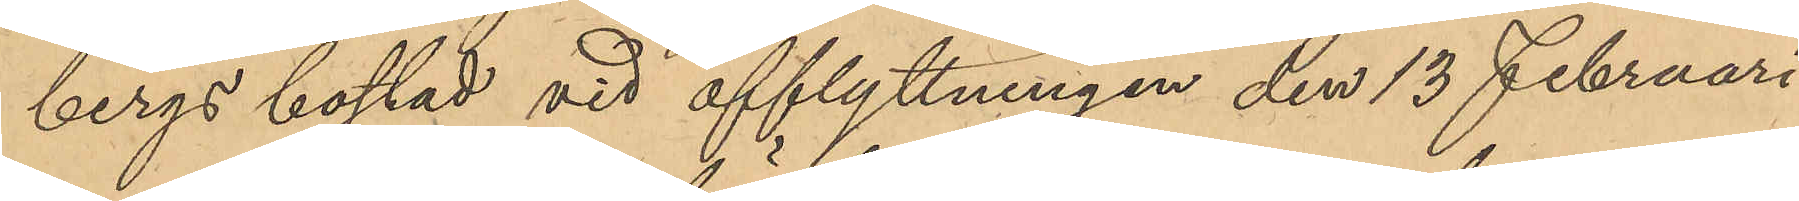bergs bostad vid afflyttningen den 13 Februari
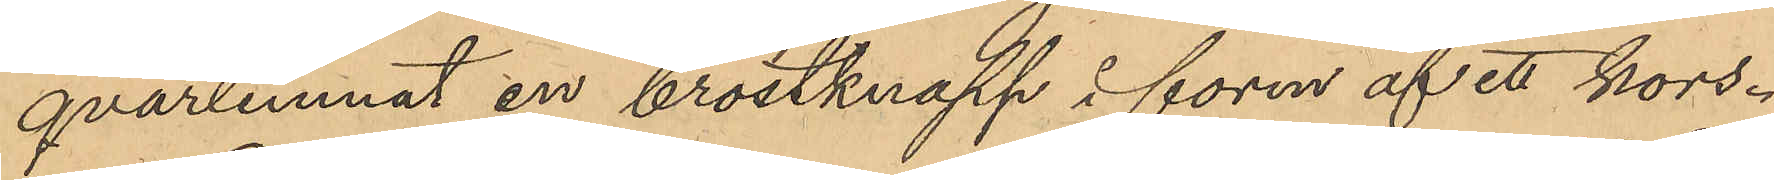qvarlemnat en bröstknapp i form af ett kors.
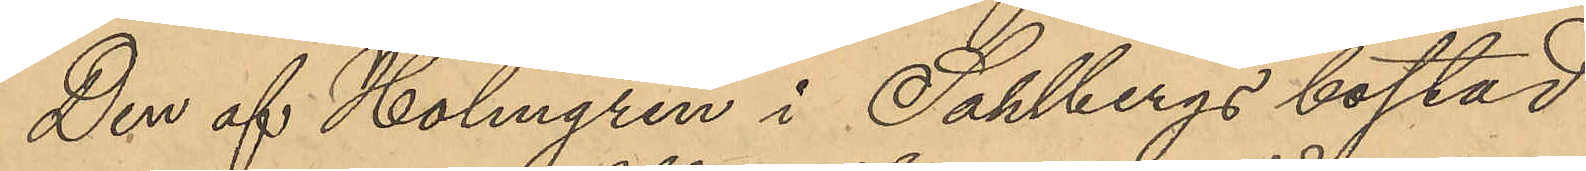Den af Holmgren i Sahlbergs bostad
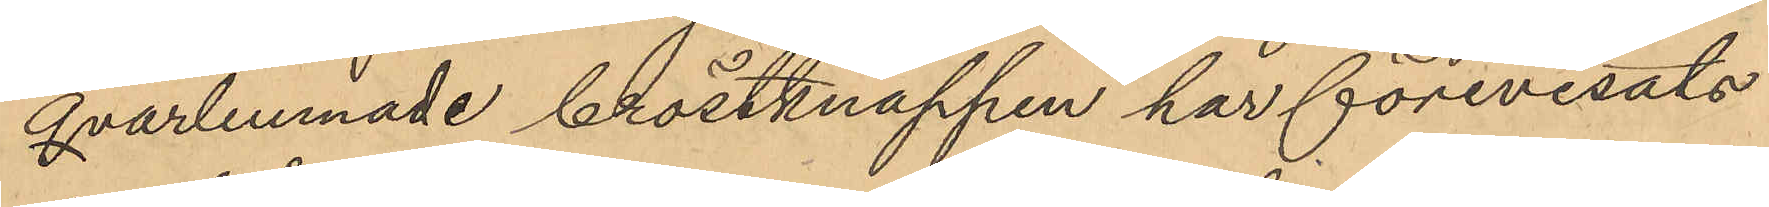qvarlemnade bröstknappen har förevisats
